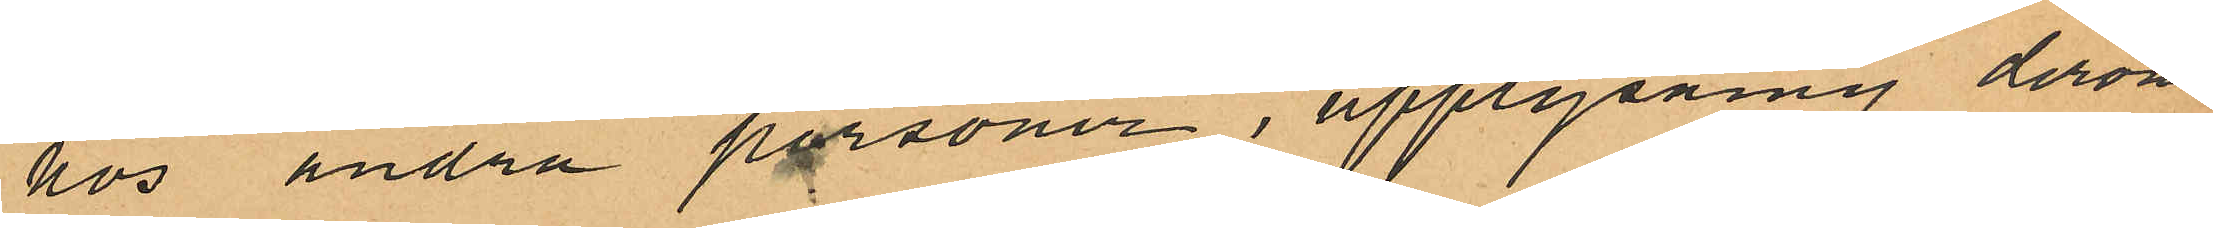hos andra personer, upplysning derom
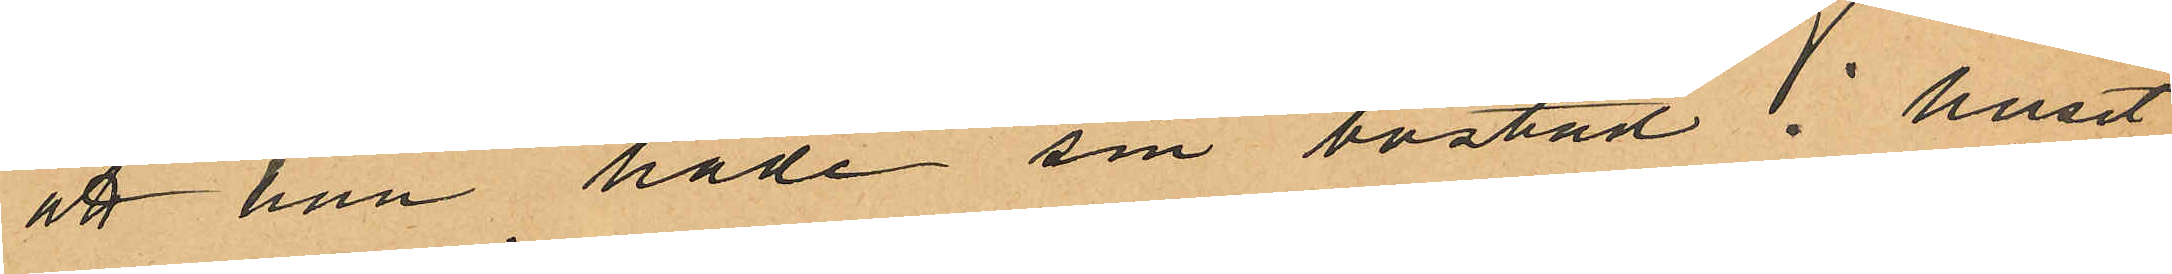att han hade sin bostad i huset
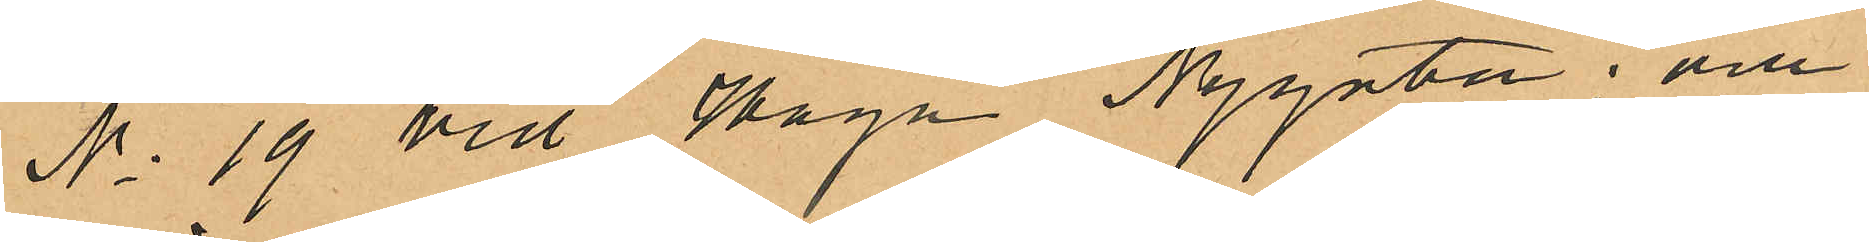No 19 vid Haga Nygata; och
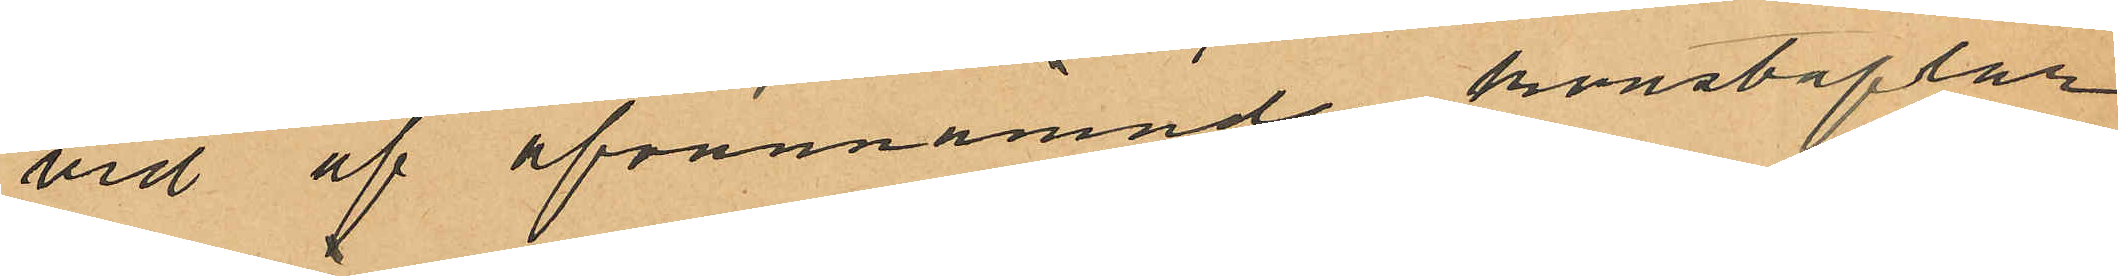vid af ofvannämnde konstaplar
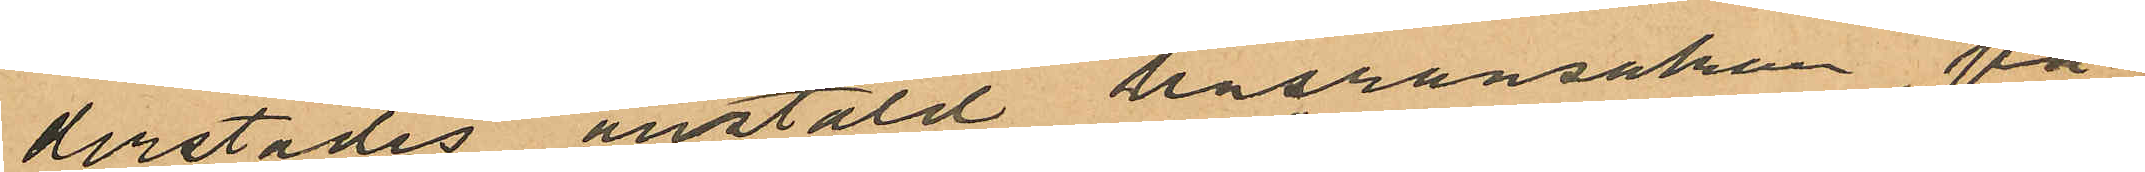derstädes anstäld husransakan på
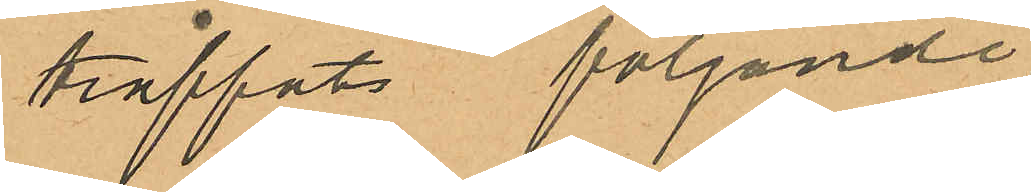träffats följande
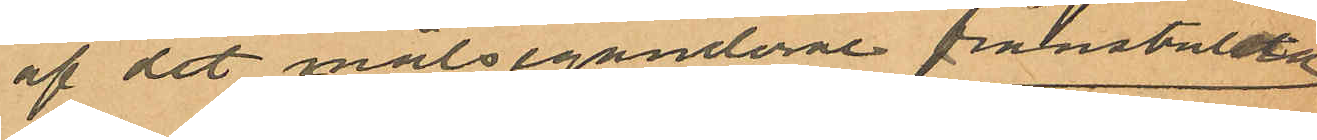af det målseganderne frånstulna
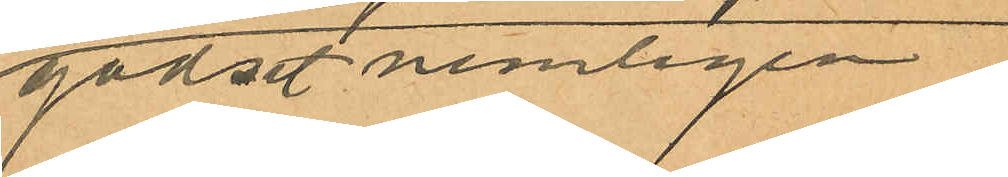godset nemligen
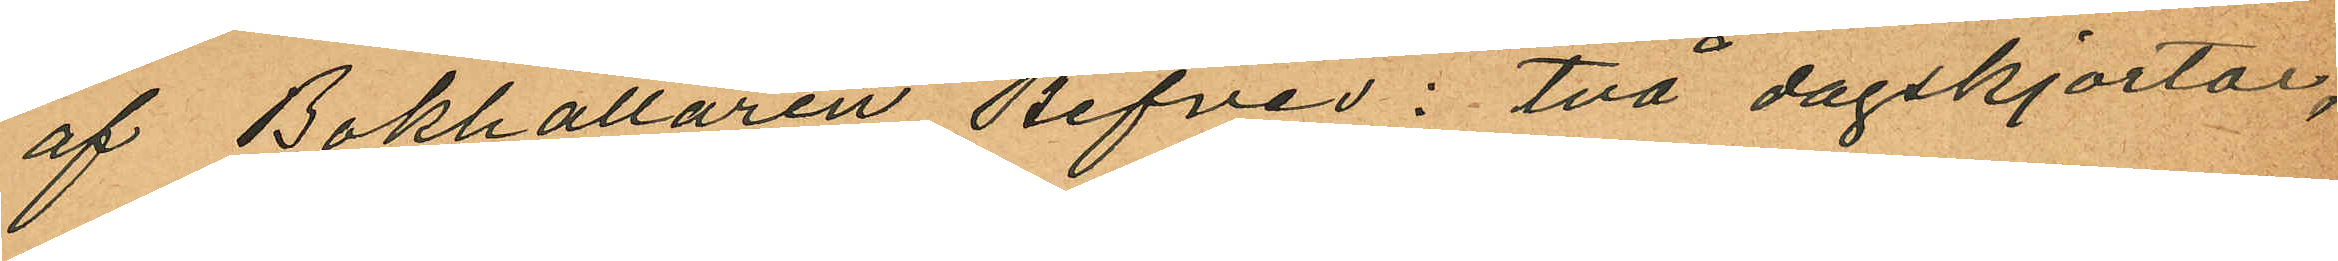af Bokhållaren Befves: två dagskjortor,
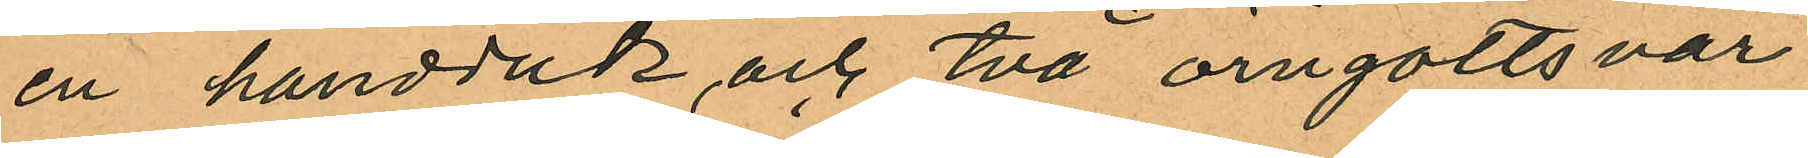en handduk och två öngottsvar
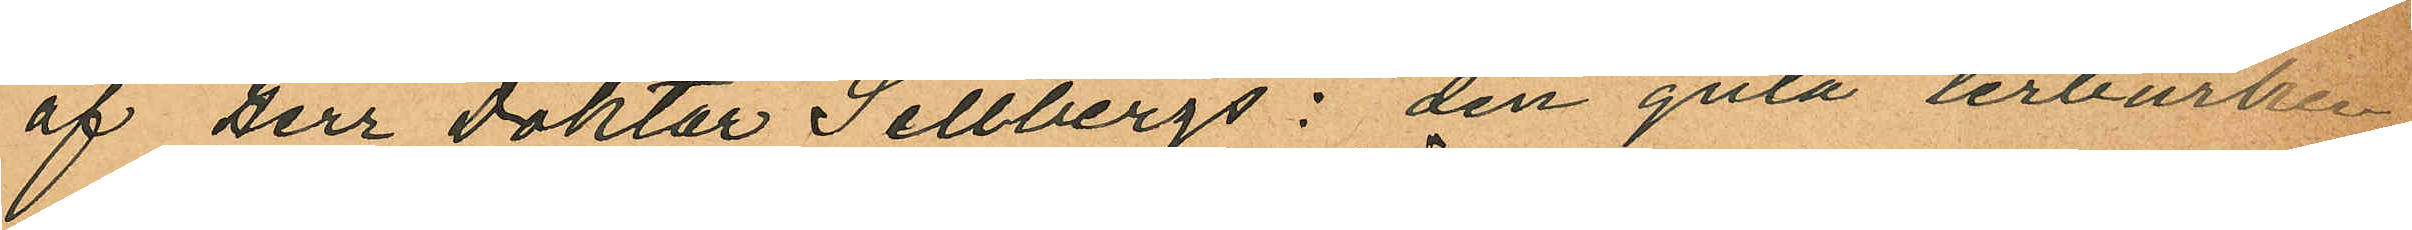af Herr Doktor Sellbergs: den gula lerburken,
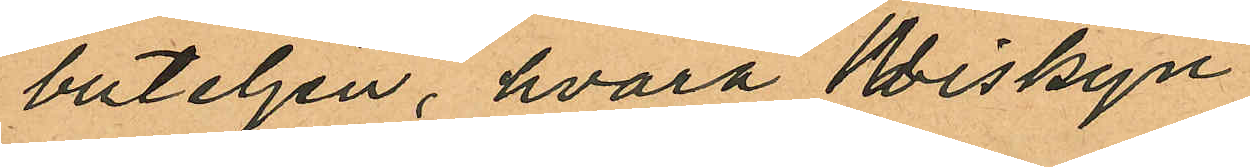buteljen, hvarå Wiskyn
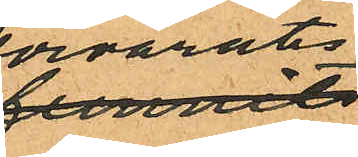förvarats
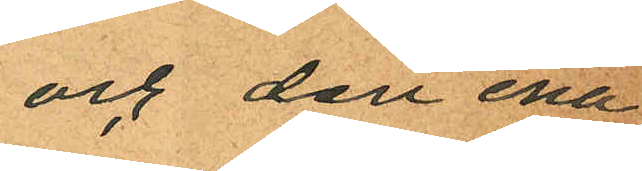och den ena
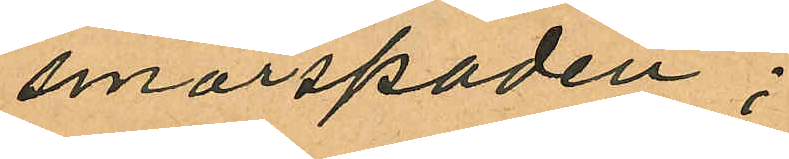smörspaden;
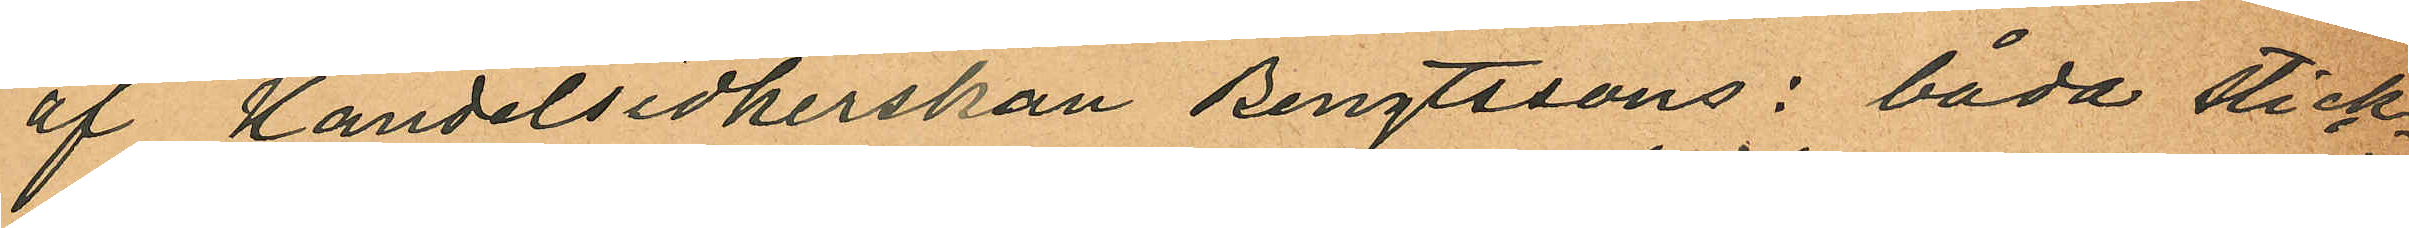af Handelsidkerskan Bengtssons: båda stick¬
